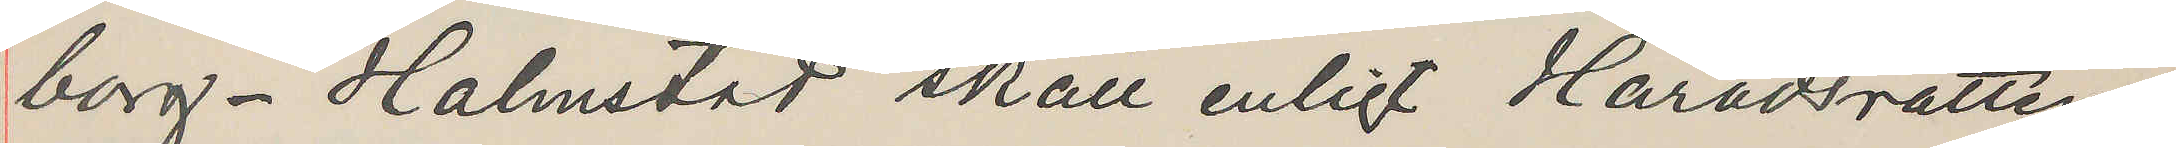borg - Halmstad skall enligt Häradsrättens
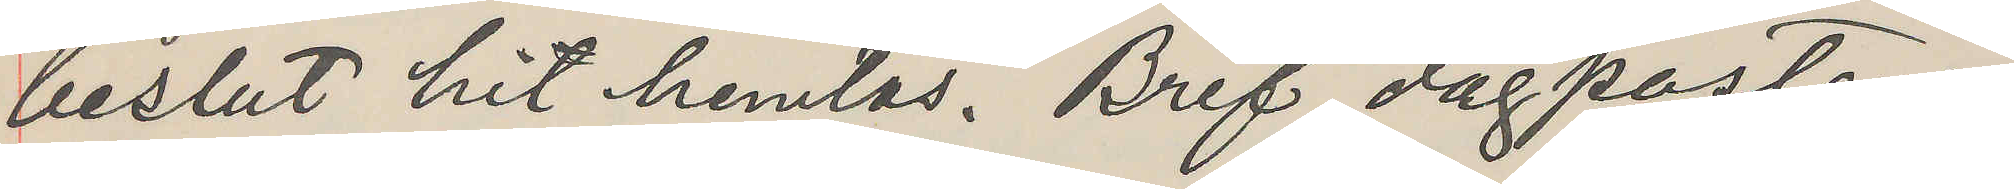beslut hit hemtas. Bref dagposten.
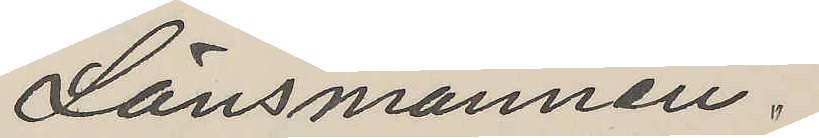Länsmannen.
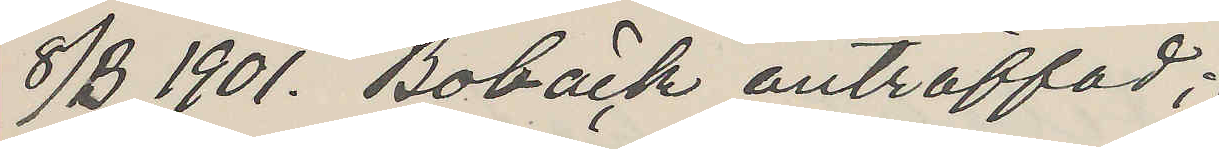8/3 1901. Bobäck anträffad;
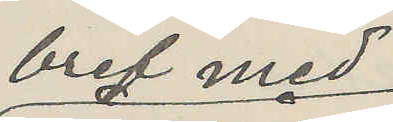bref med
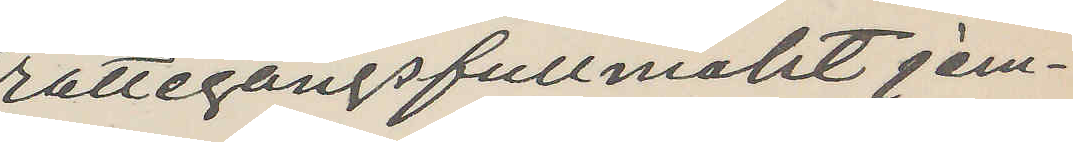rättegångsfullmakt jem¬
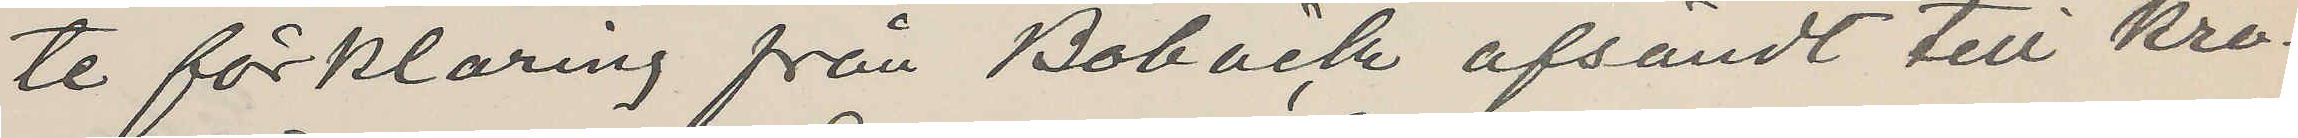te förklaring från Bobäck afsändt till Kro¬
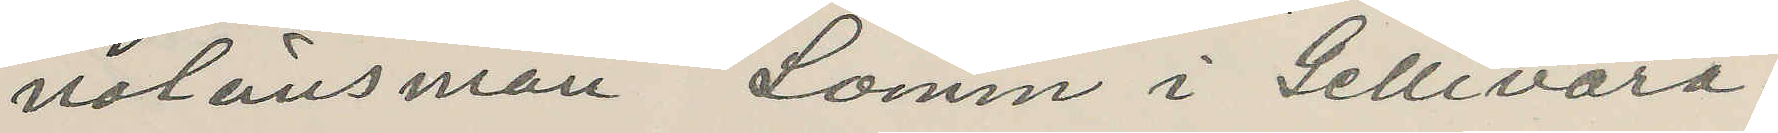nolänsman Lomm i Gellivara.
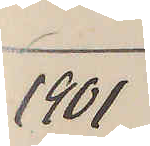1901
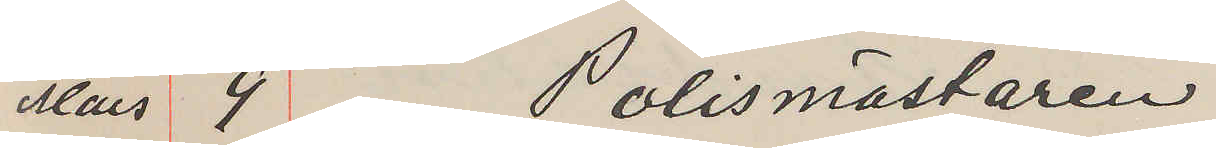Mars 9 Polismästaren
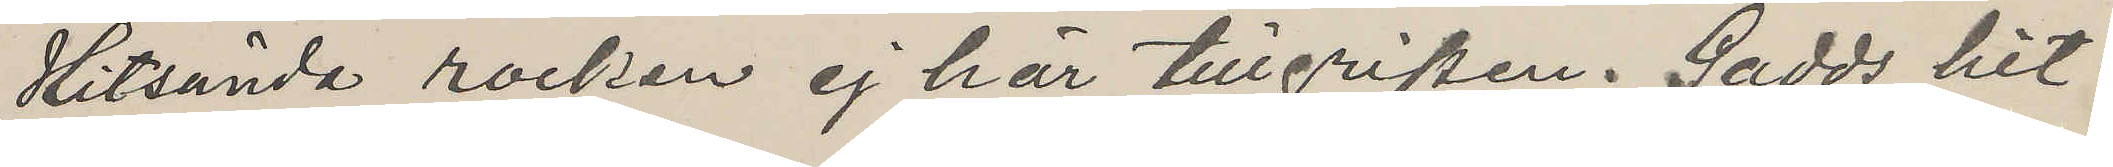Hitsända rocken ej här tillgripen. Gadds hit¬
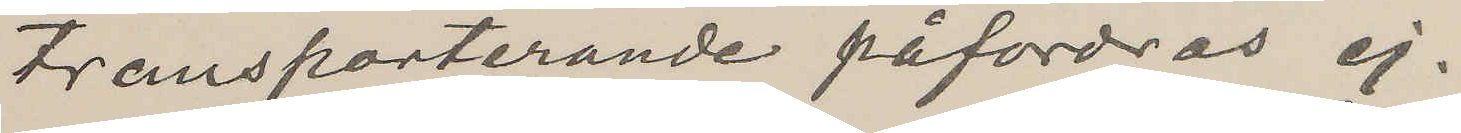transporterande påfordras ej.
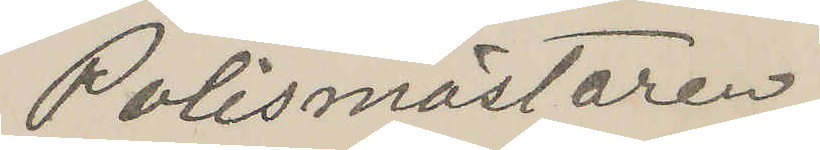Polismästaren
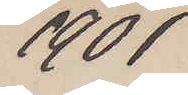1901
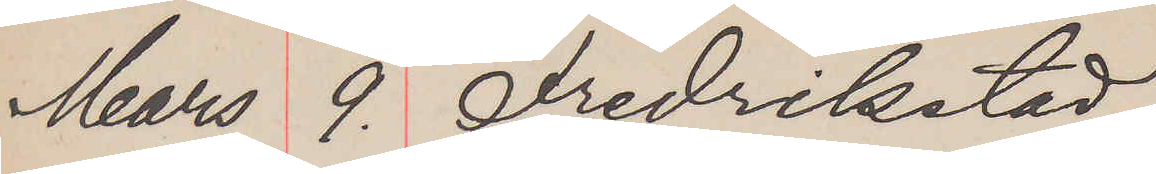Mars 9. Fredrikstad
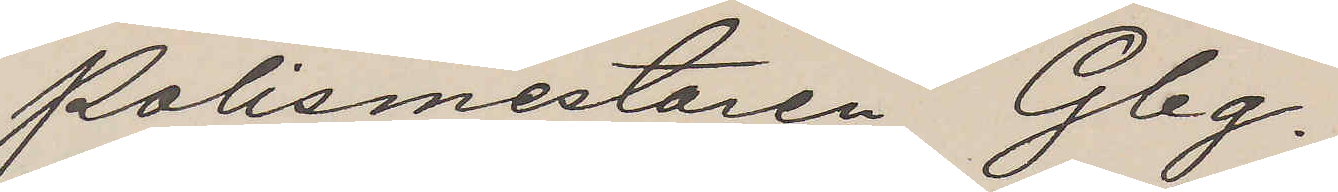Polismestaren Gbg.
